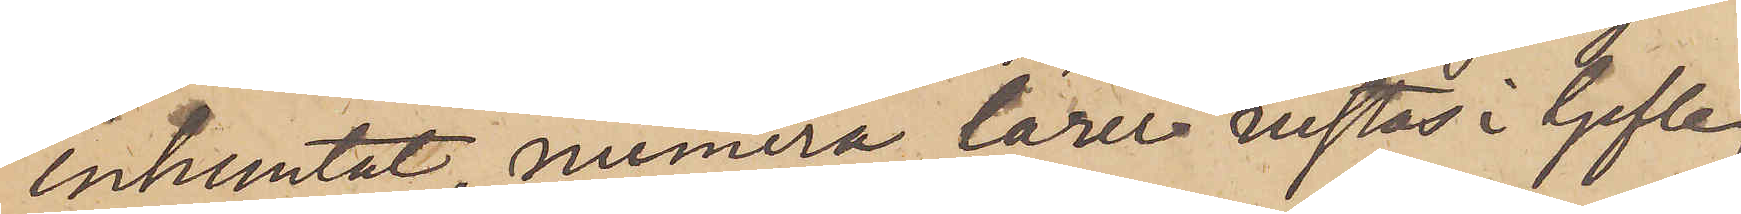inhemtat, numera lärer vistas i Gefle,
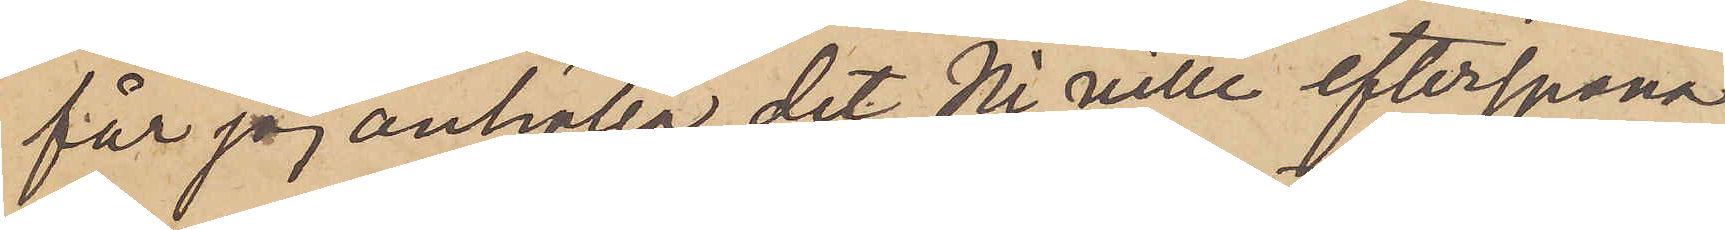får jag anhålla, det Ni ville efterspana
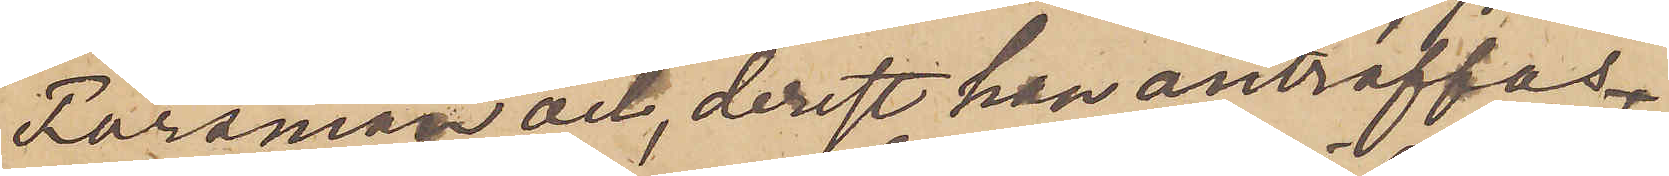Forsman och, derest han anträffas
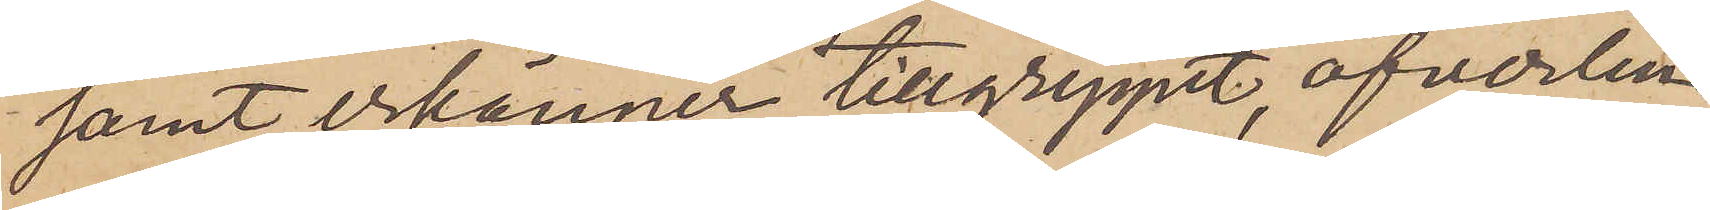samt erkänner tillgreppet, öfverlem¬
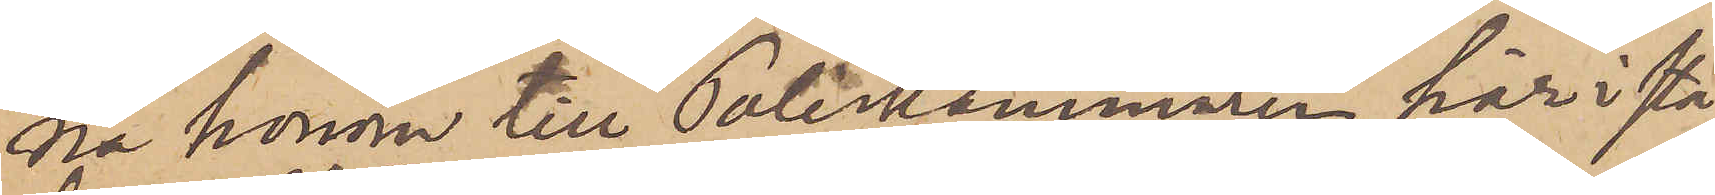na honom till Poliskammaren här i sta¬
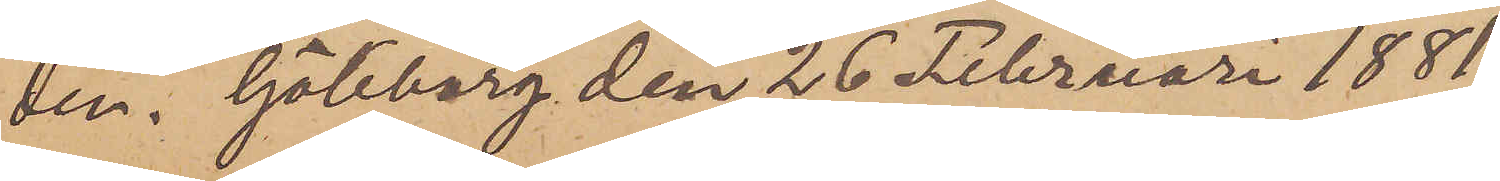den. Göteborg den 26 Februari 1881.
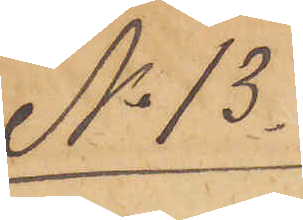No 13.
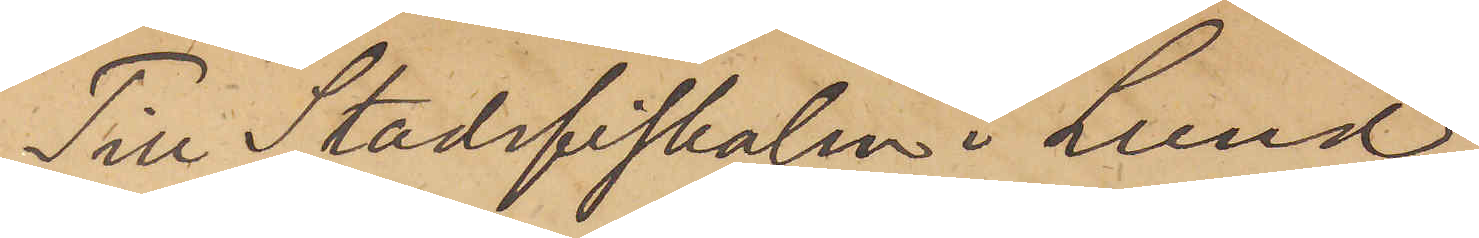Till Stadsfiskalen i Lund.
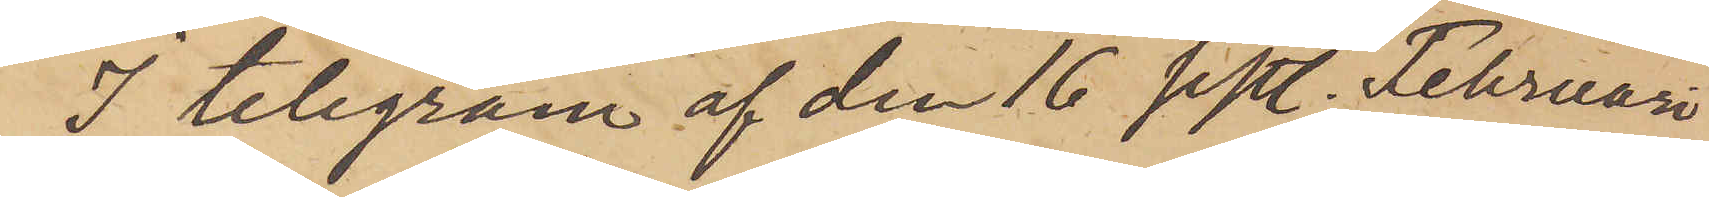I telegram af den 16 sistl. Februari
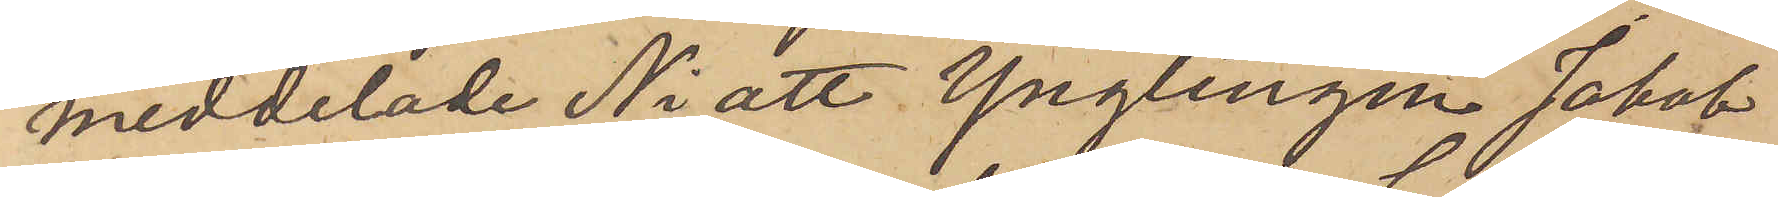meddelade Ni, att Ynglingen Jakob
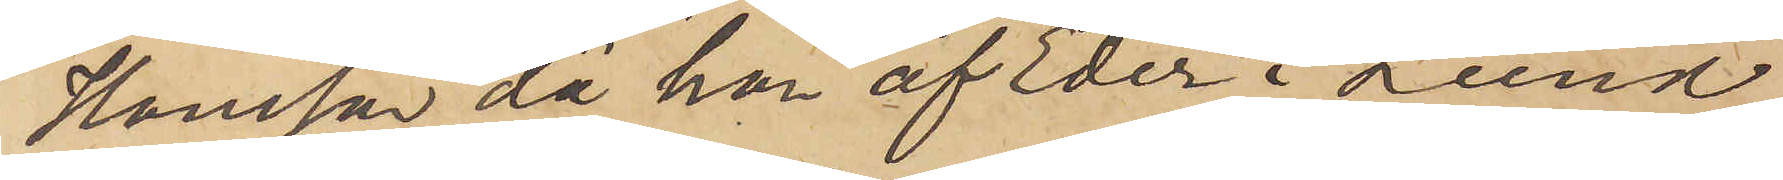Hansson, då han af Eder i Lund
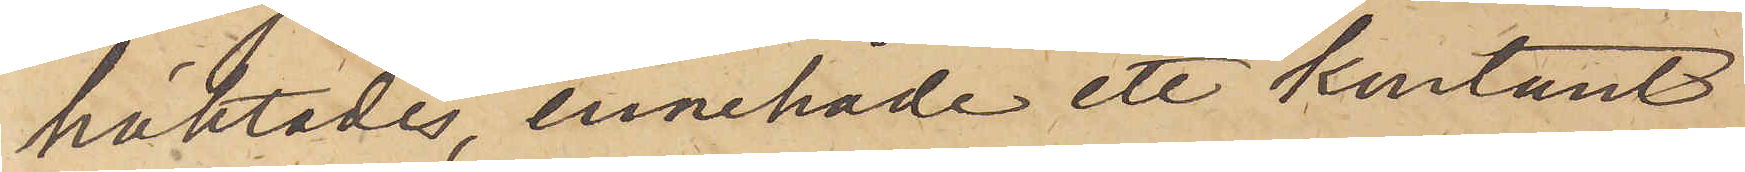häktades, innehade ett kontant
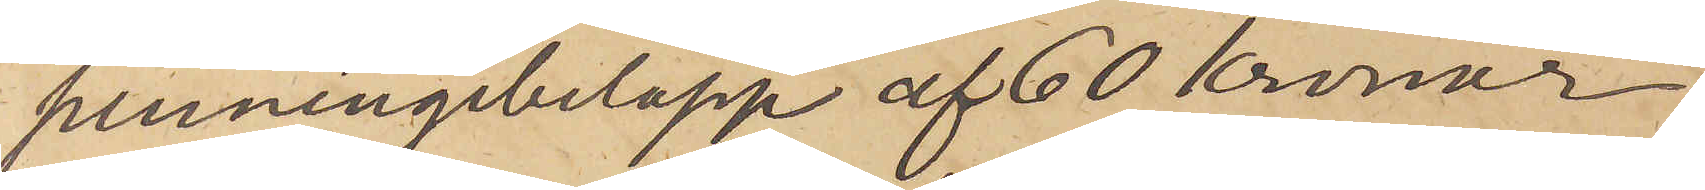penningebelopp af 60 kronor.
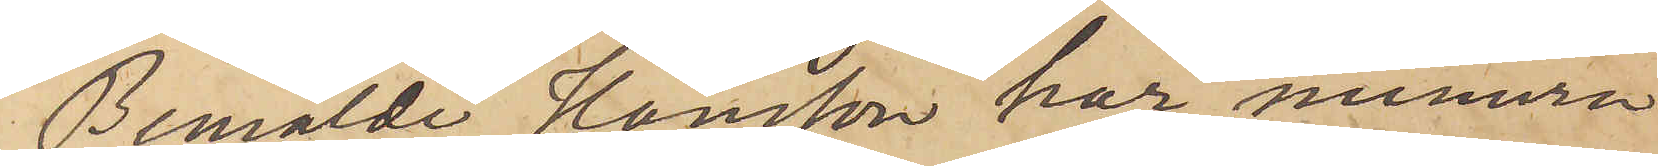Bemälde Hansson har numera
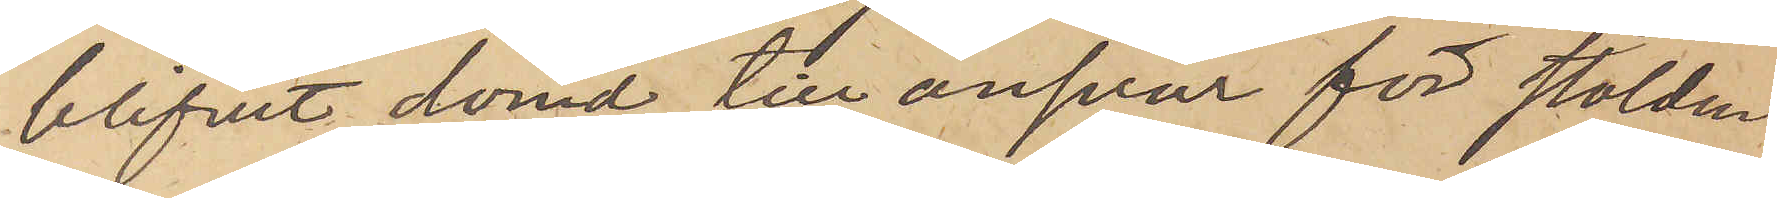blifvit dömd till ansvar för stölden
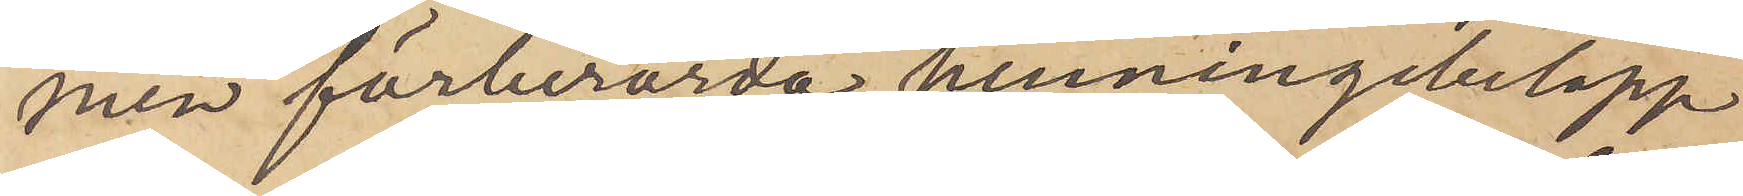men förberörda penningebelopp
